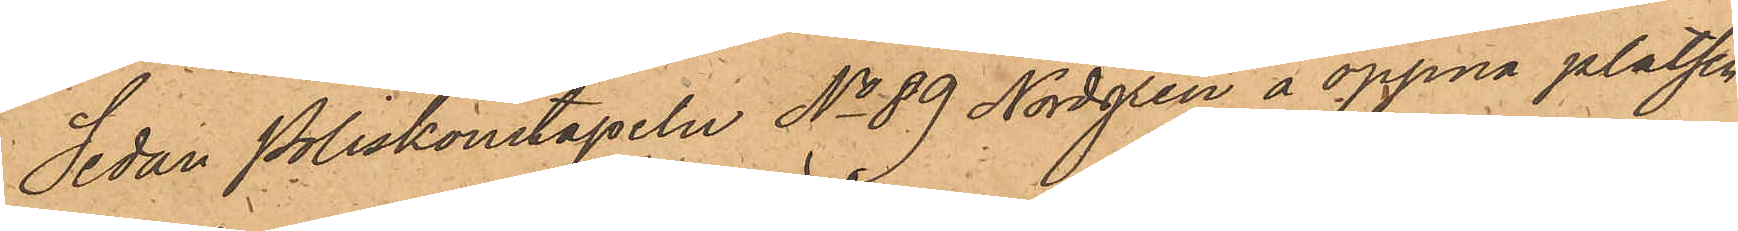Sedan Poliskonstapeln No 89 Nordgren å öppna platsen
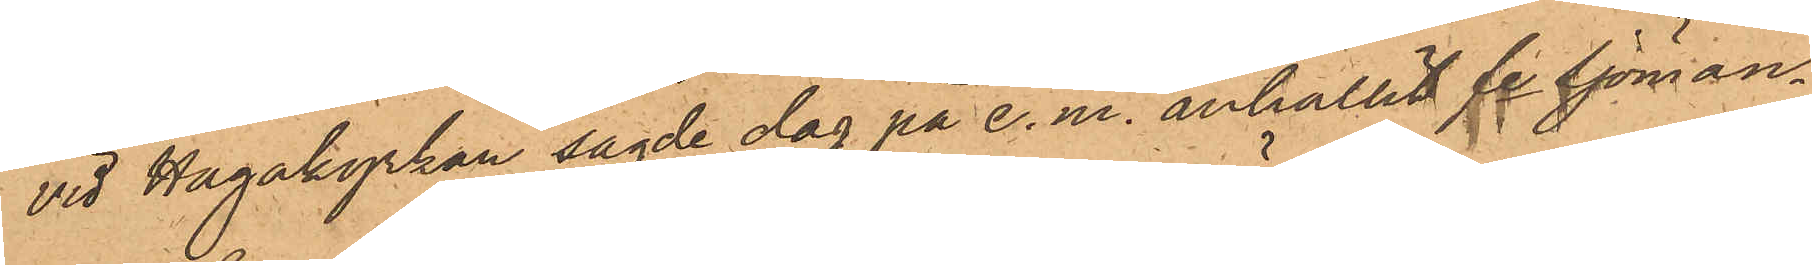vid Hagakyrkan sagde dag på e. m. anhållit fe Sjöman¬
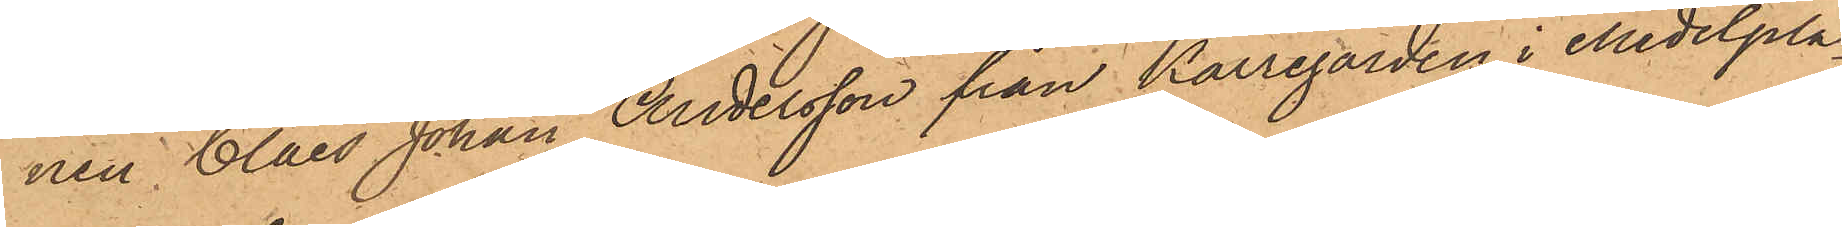nen Claes Johan Andersson från Kärrgården i Medelpla¬
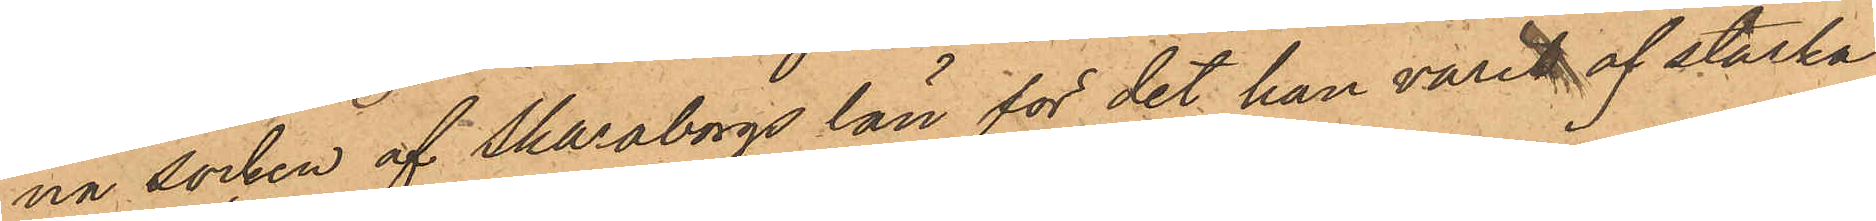na socken af Skaraborgs län för det han varit af starka
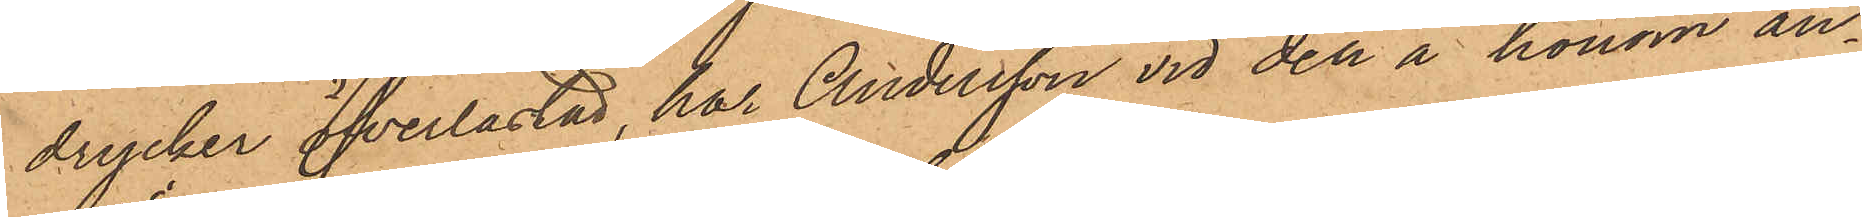drycker öfverlastad, har Andersson vid den å honom an¬
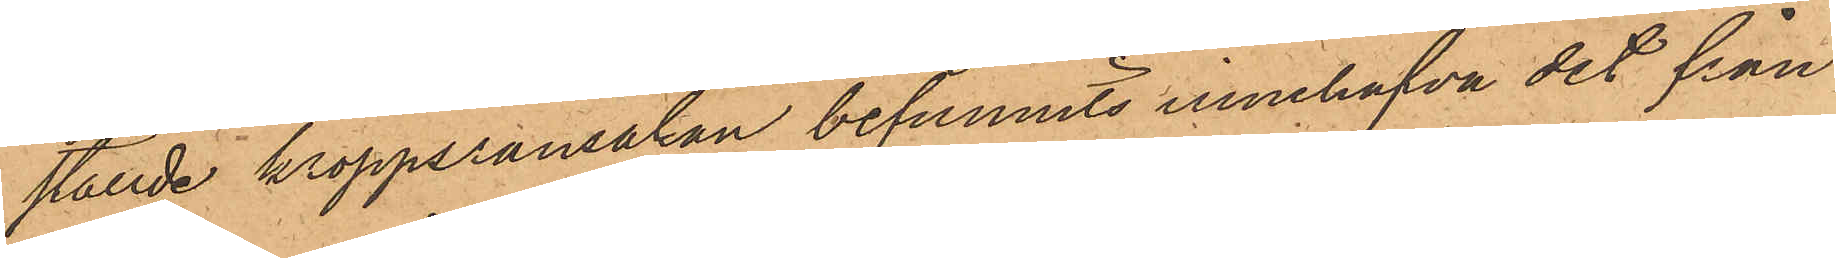ställde kroppsransakan befunnits innehafva det från
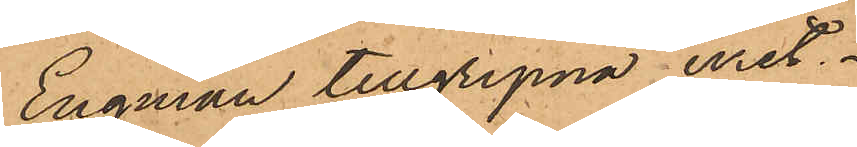Engman tillgripna uret.
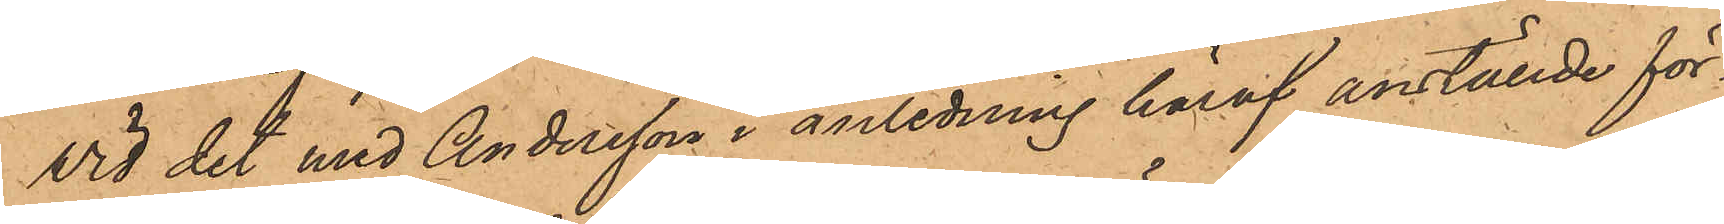Vid det med Andersson i anledning häraf anställde för¬
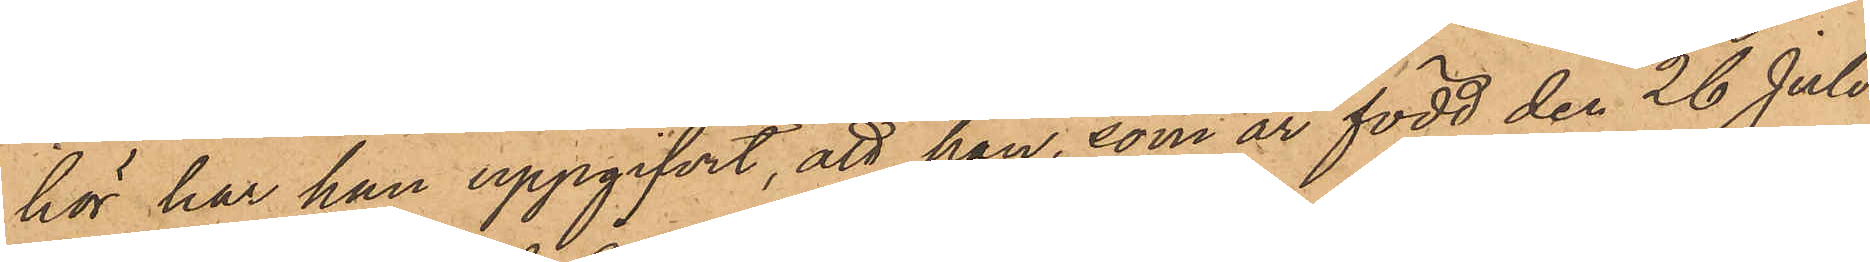hör har han uppgifvit, att han, som är född den 26 Juli
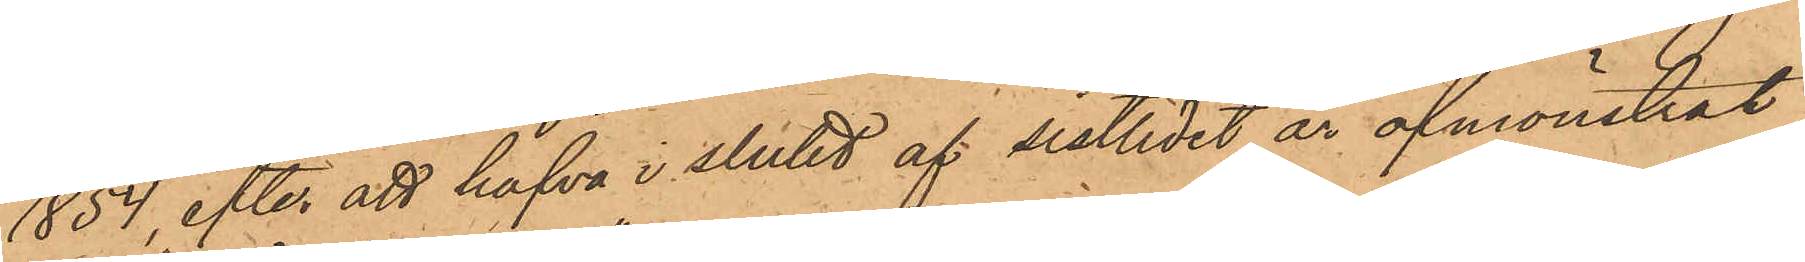1854, efter att hafva i slutet af sistlidet år afmönstrat
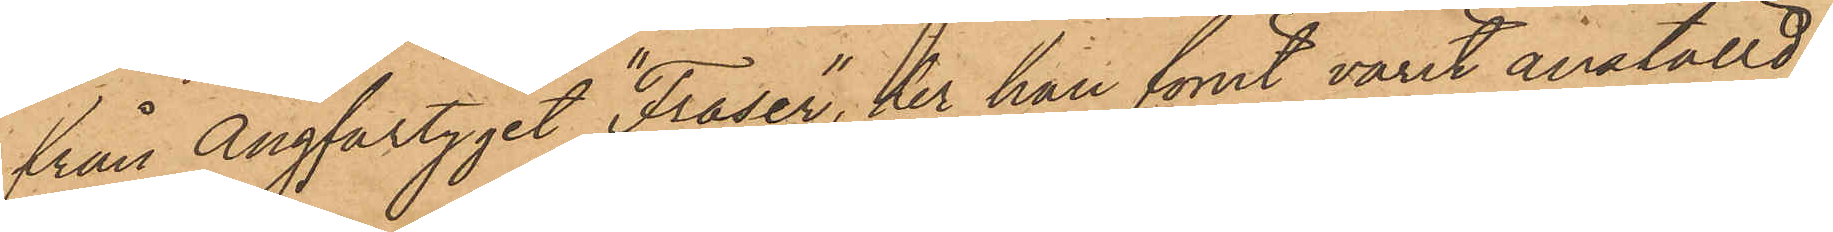från Ångfartyget "Fraser", har han förut varit anställd,
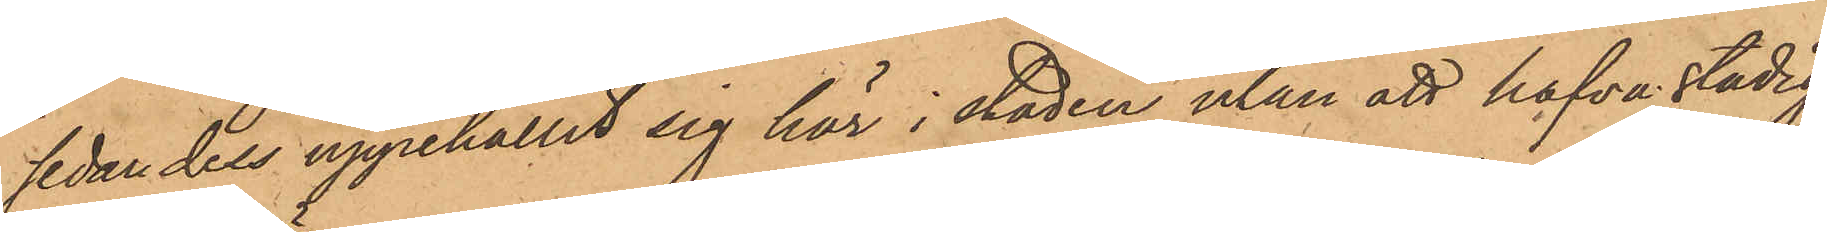sedan dels uppehållit sig här i staden utan att hafva stadig
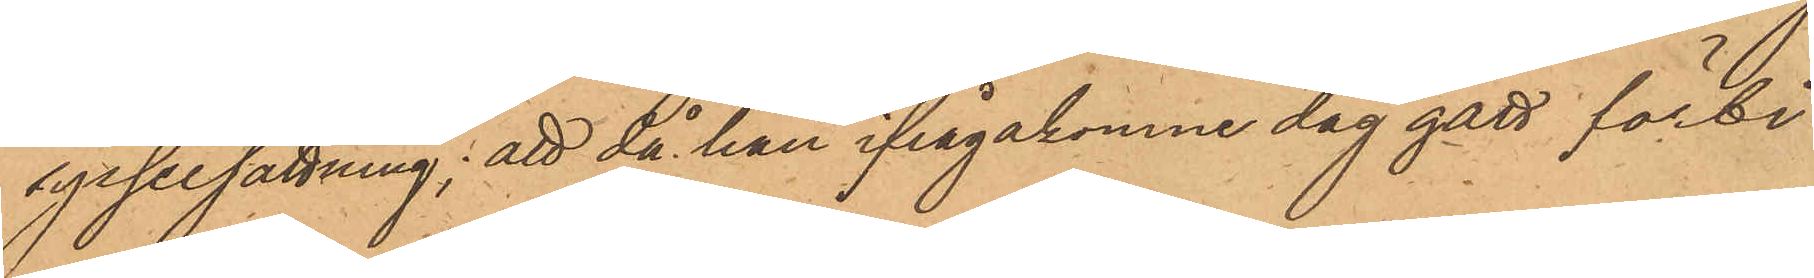sysselsättning; att då han ifrågakomne dag gått förbi
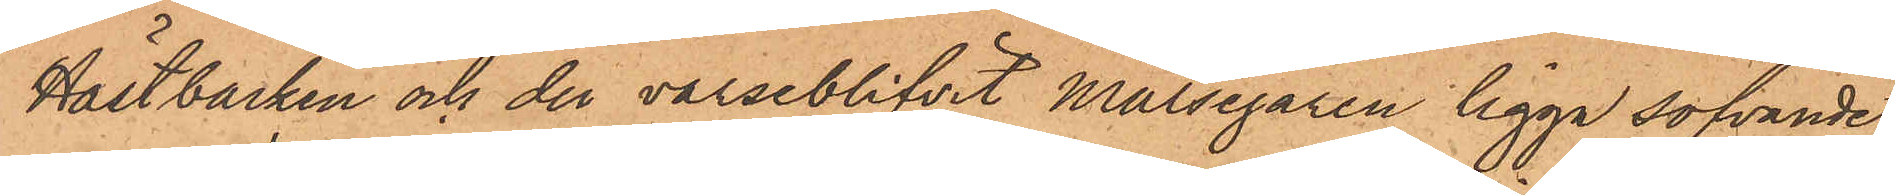Hästbacken och der varseblifvit målsegaren ligga sofvande
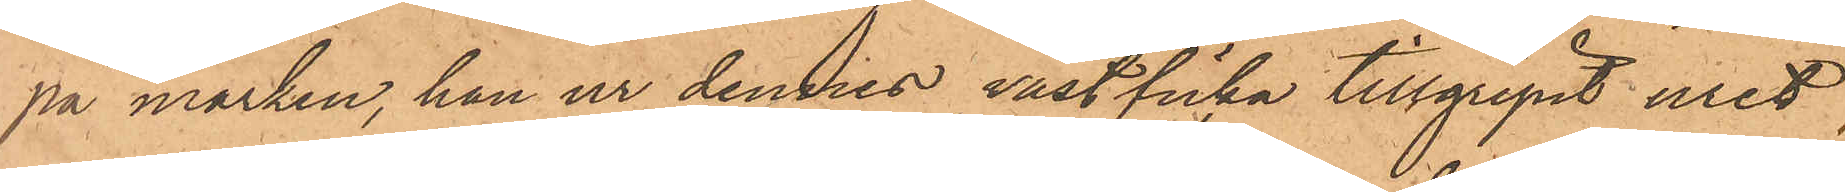på marken, han ur dennes västficka tillgripit uret,
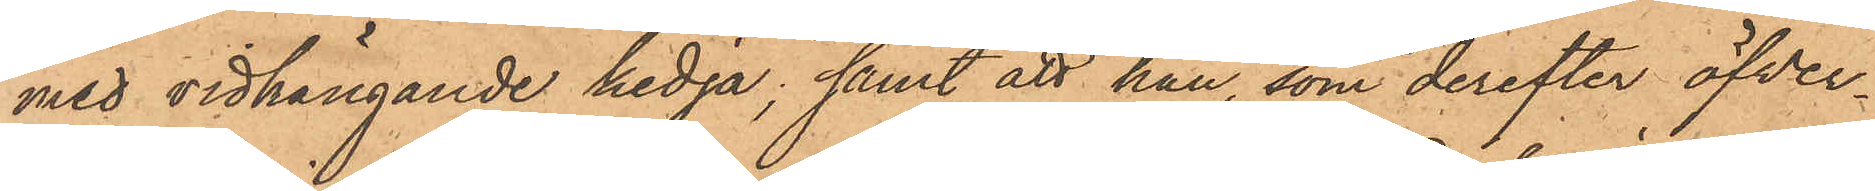med vidhängande kedja; samt att han, som derefter öfver¬
